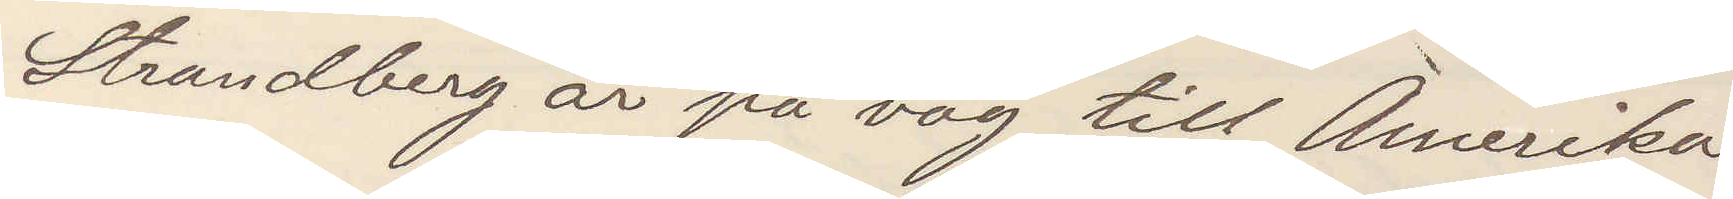Strandberg är på väg till Amerika
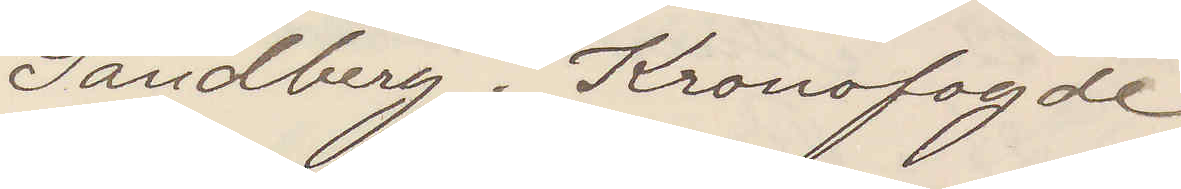Sandberg. Kronofogde
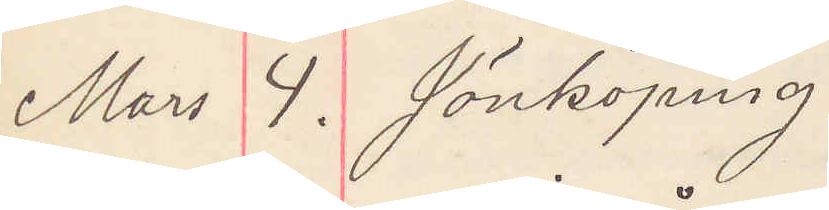Mars 4. Jönköping
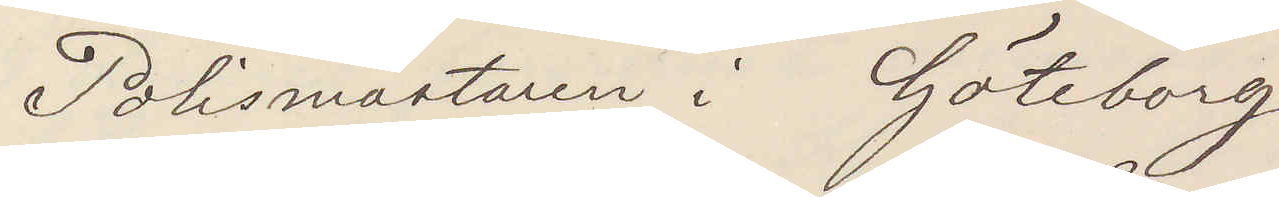Polismästaren i Göteborg
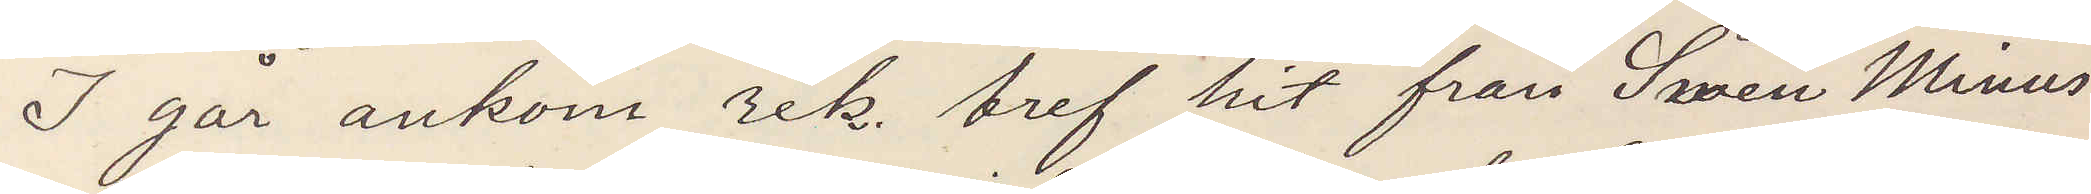I går ankom rek bref hit från Swen Minus
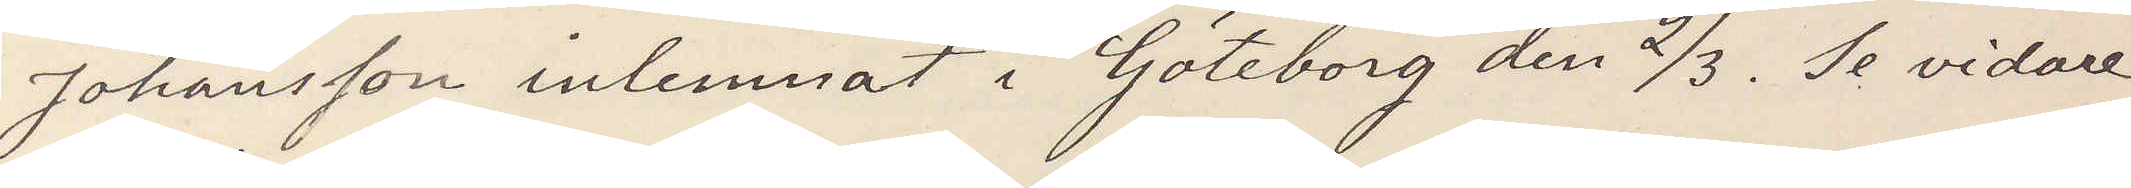Johansson inlemnat i Göteborg den 2/3. Se vidare
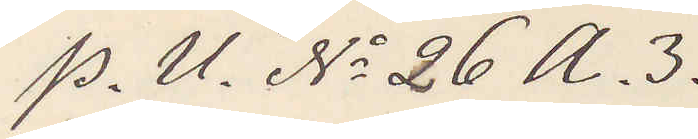P. U. No 26 A. 3.
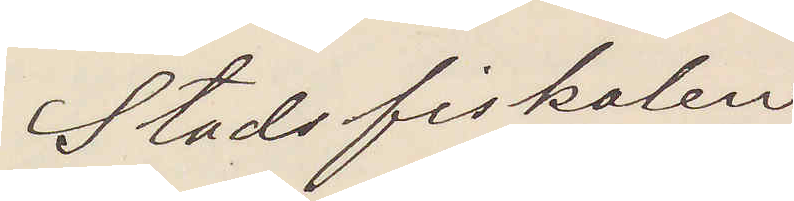Stadsfiskalen
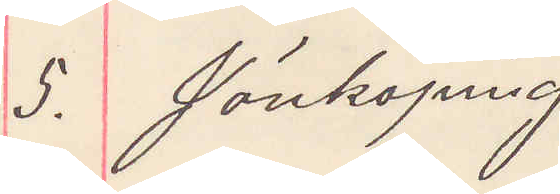5. Jönköping
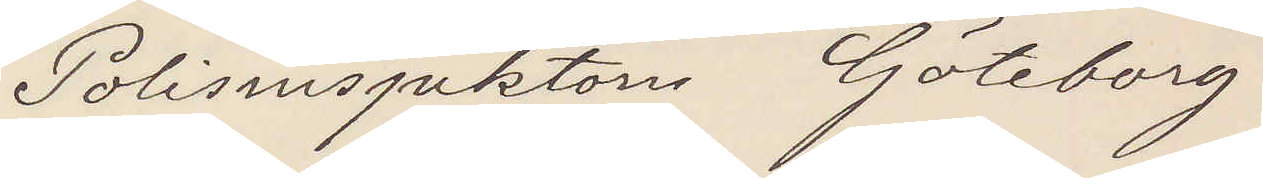Polisinspektorn Göteborg
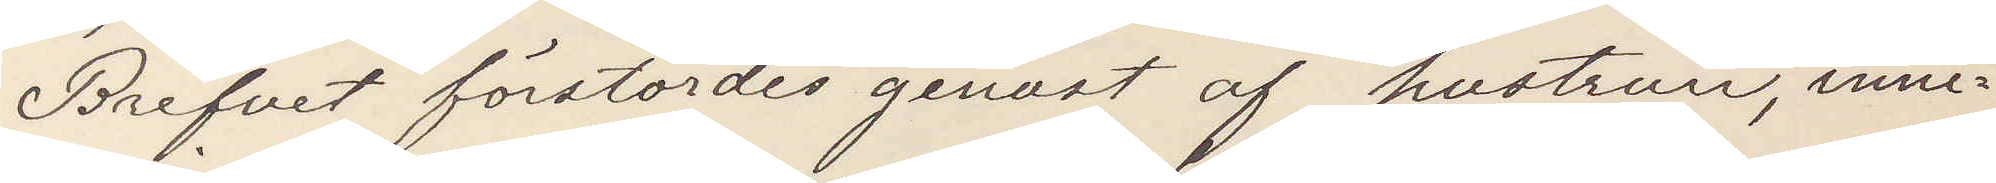Brefvet förstördes genast af hustrun inne¬
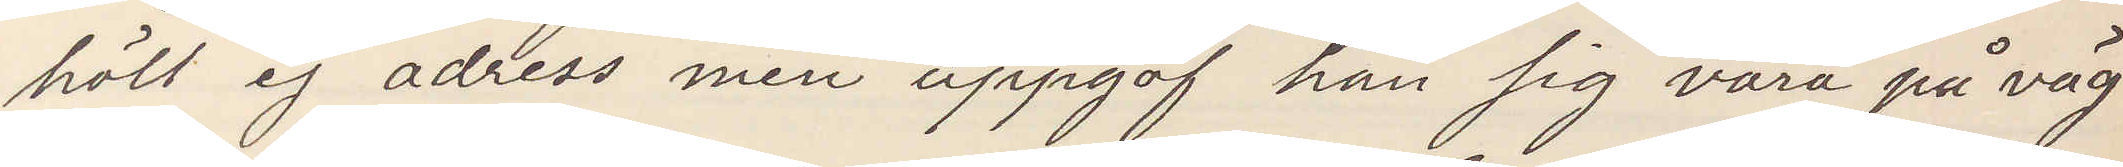höll ej adress men uppgaf han sig vara på väg
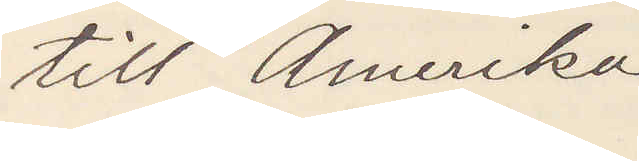till Amerika
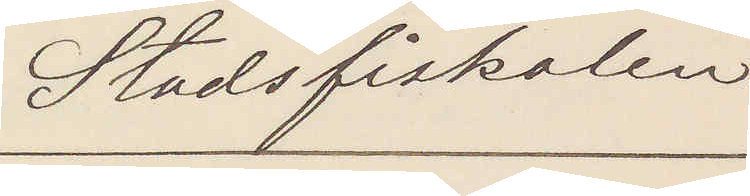Stadsfiskalen
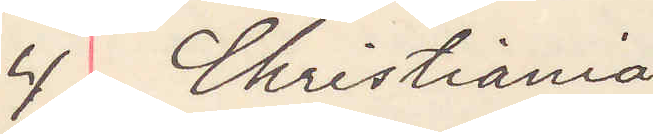4 Christiania
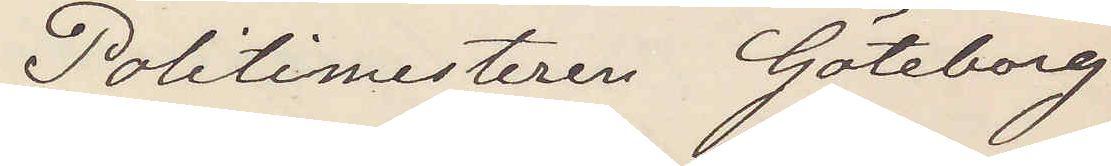Politimesteren Göteborg
